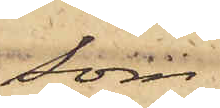som
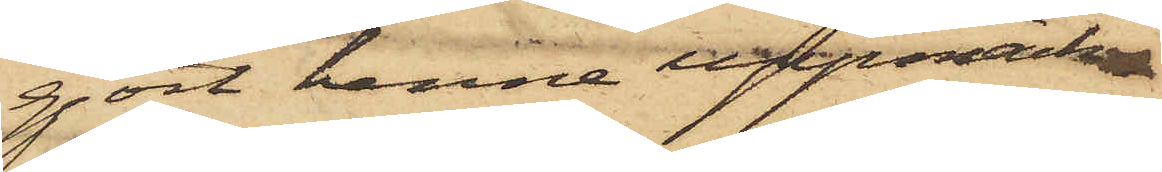gjort henne uppmärk¬
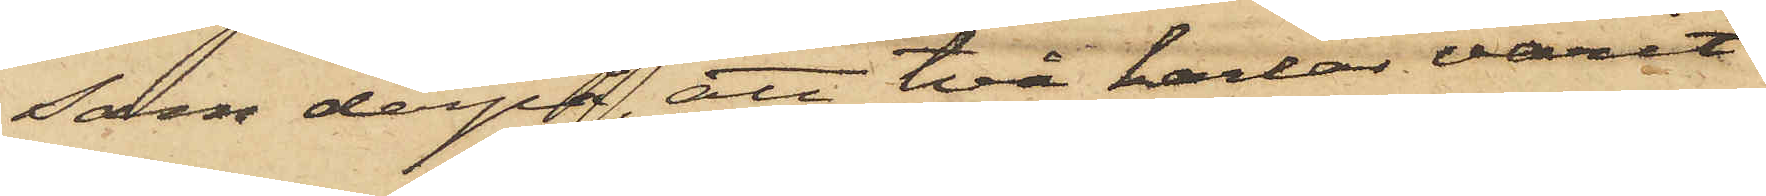som derpå, att två karlar varit
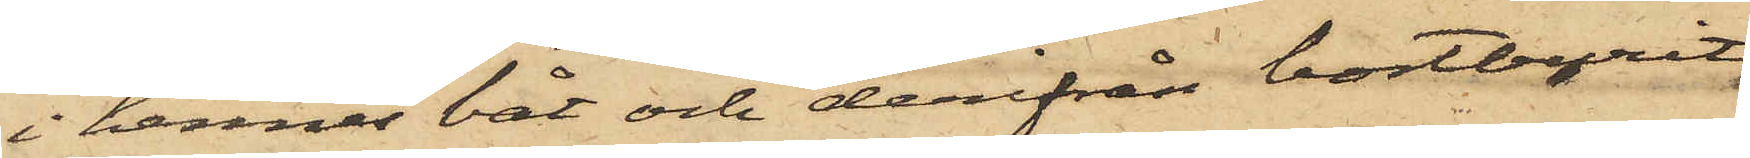i hennes båt och derifrån bortburit
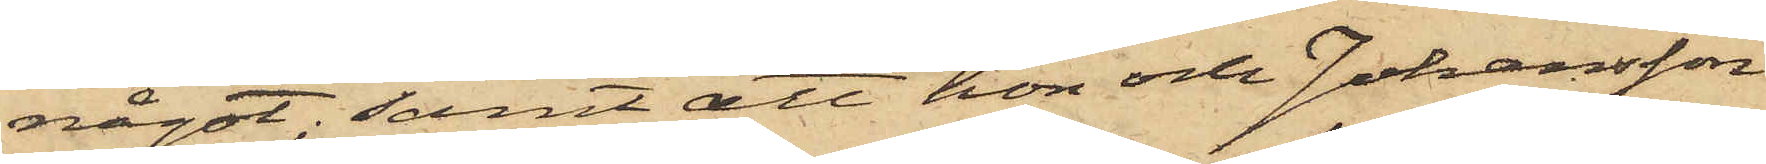något; samt att hon och Johansson
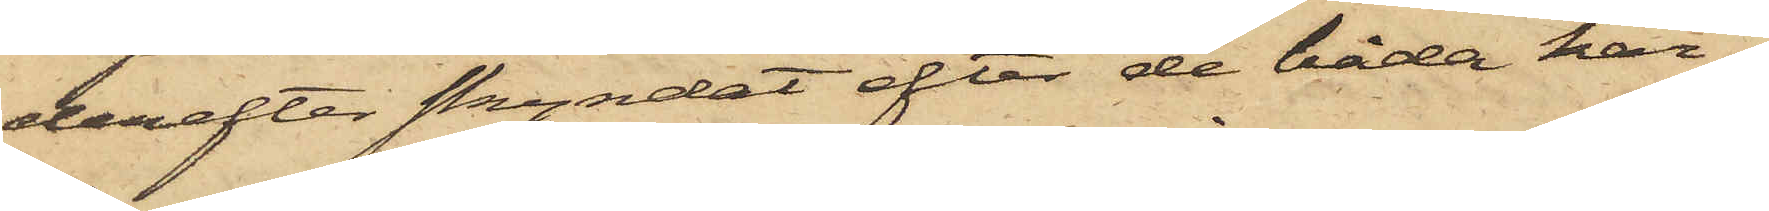derefter skyndat efter de båda kar¬
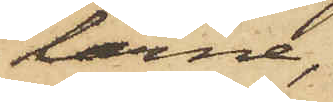larne,
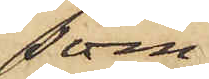som
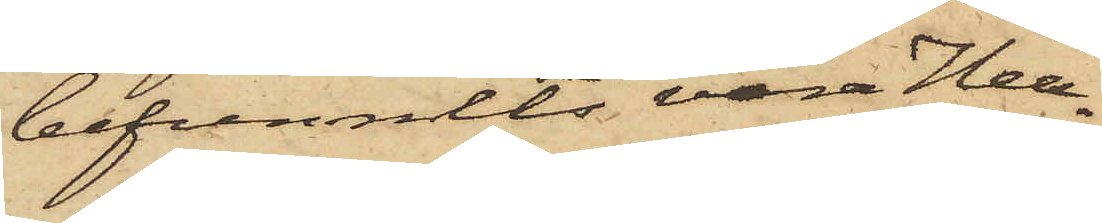befunnits vara Hell¬
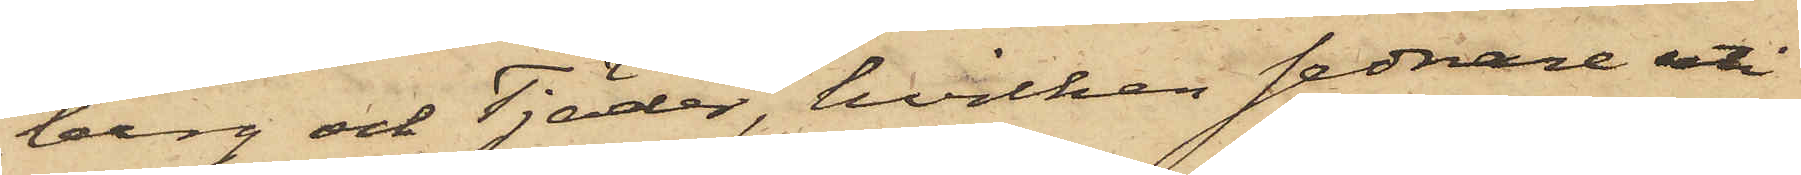berg och Tjäder, hvilken sednare uti
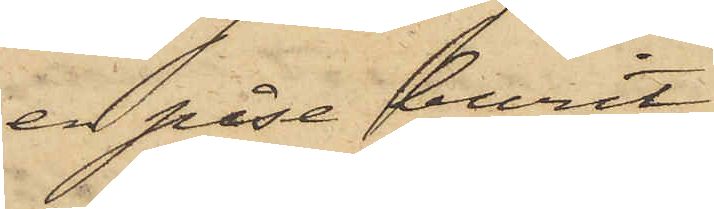en påse burit
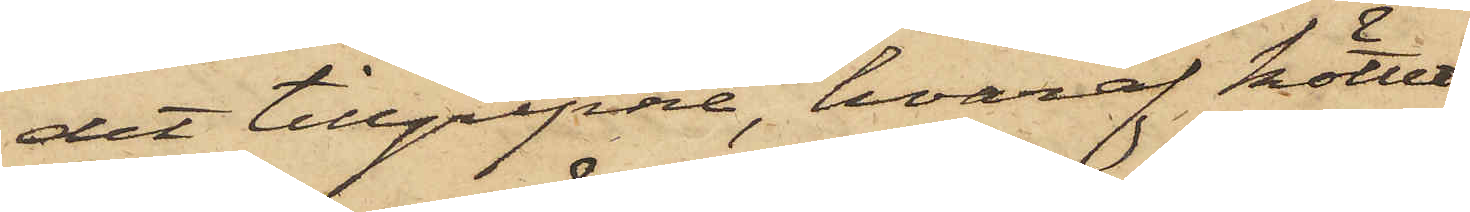det tillgripne, hvaraf köttet
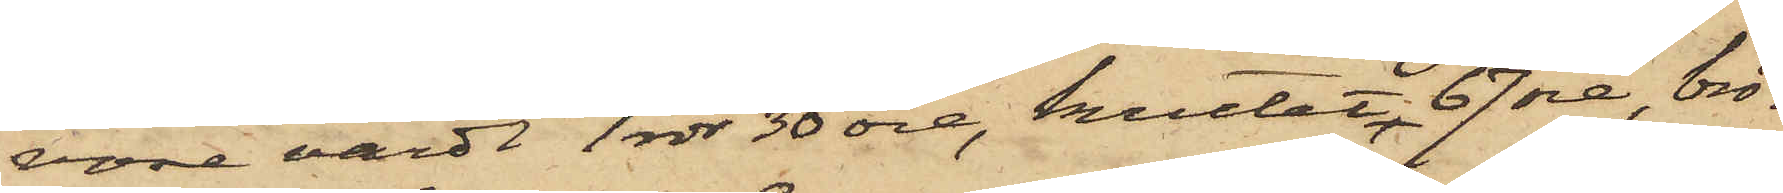vore värdt 1 rdr 30 öre, krutet 67 öre, brö¬
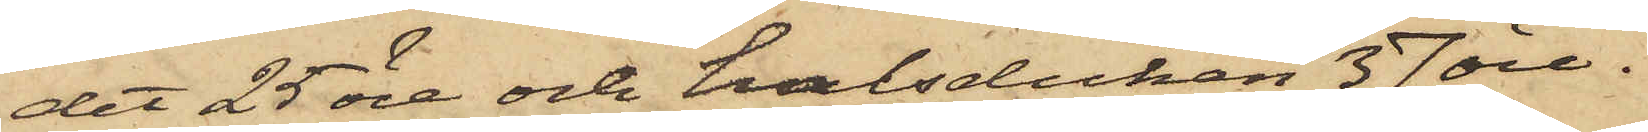det 25 öre och halsduken 37 öre.
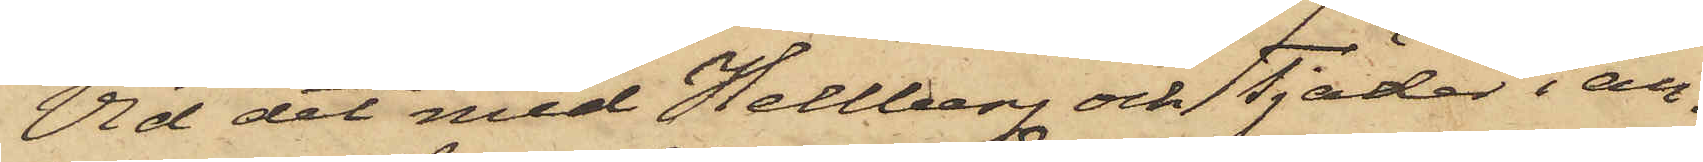Vid det med Hellberg och Tjäder i an¬
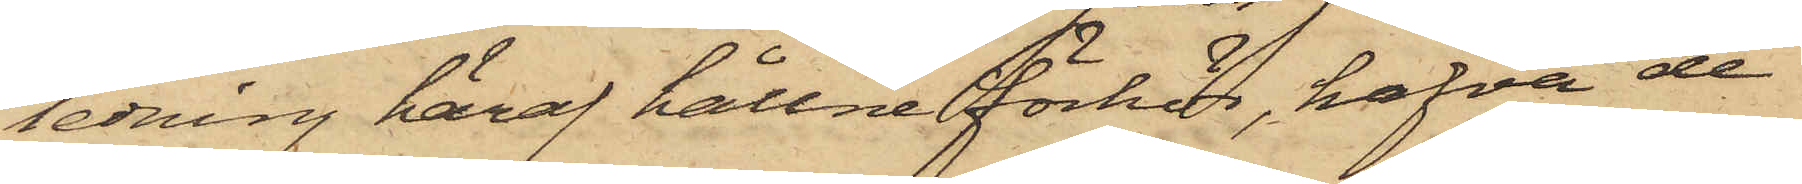ledning häraf hållne förhör, hafva de
